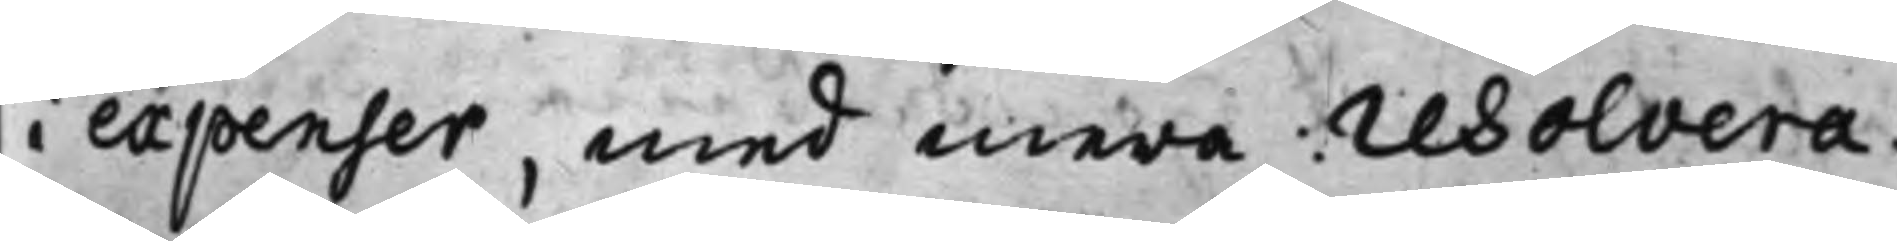i expenser, med mera: resolvera¬
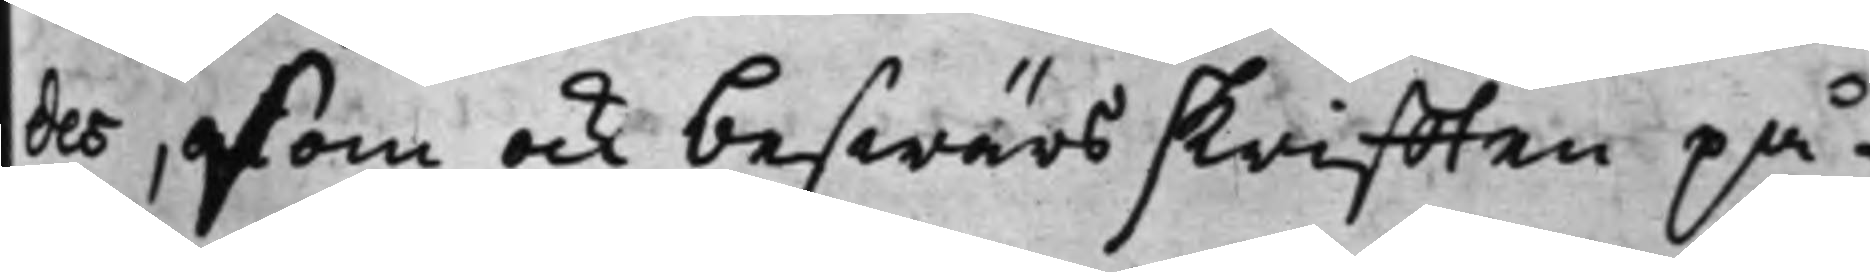des, som ock beswärsskrifften på¬
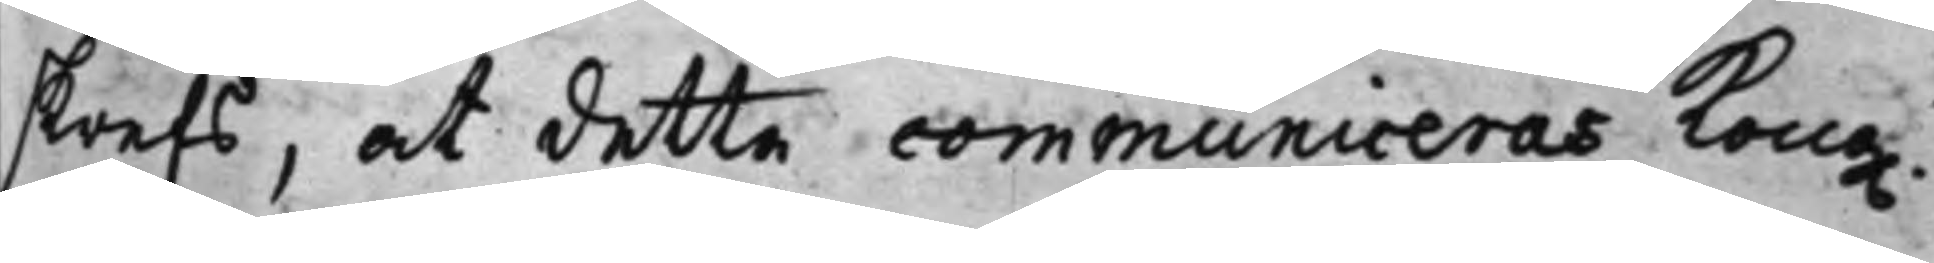skrefs, at detta communiceras Kong.
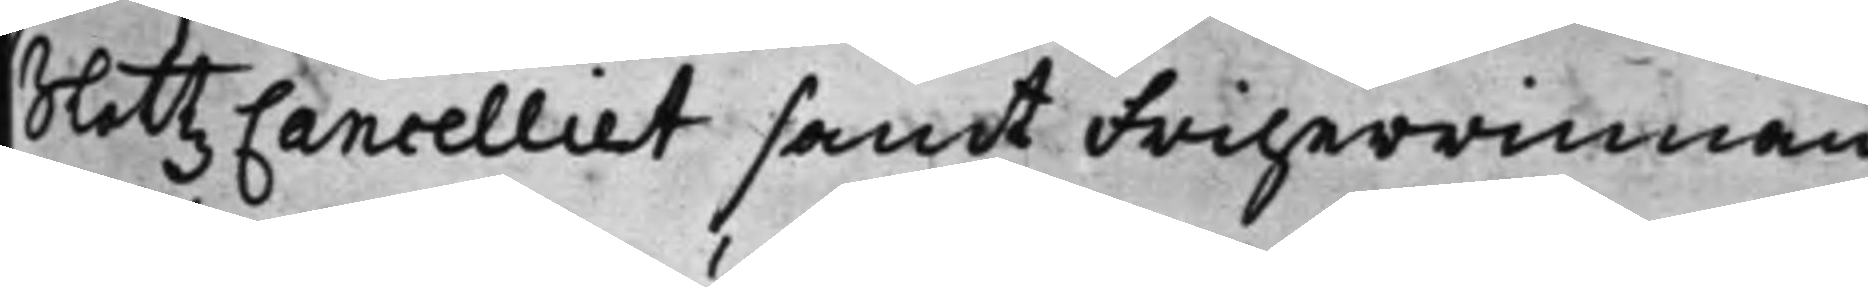SlottzCancelliet samt Friherrinnan
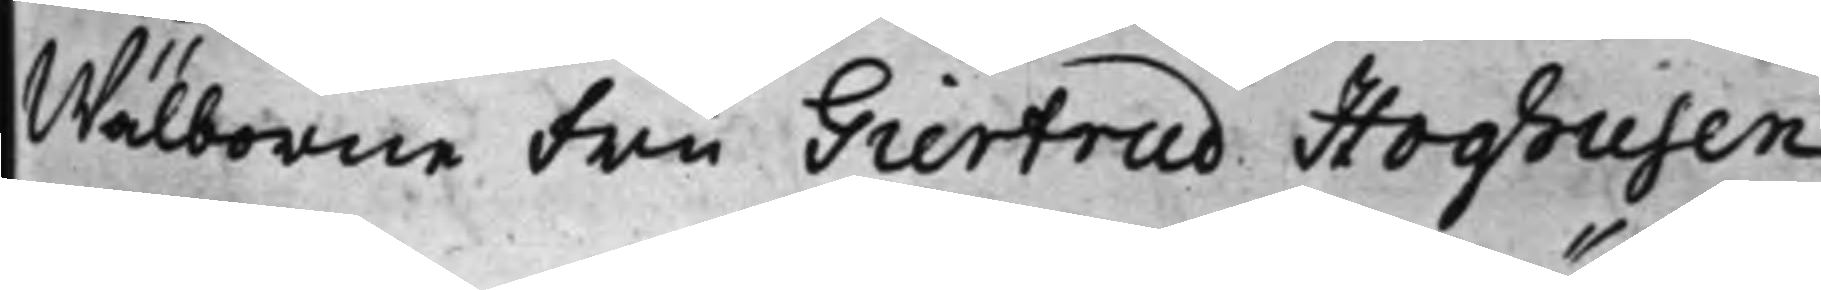Wälborne Fru Giertrud Hoghusen
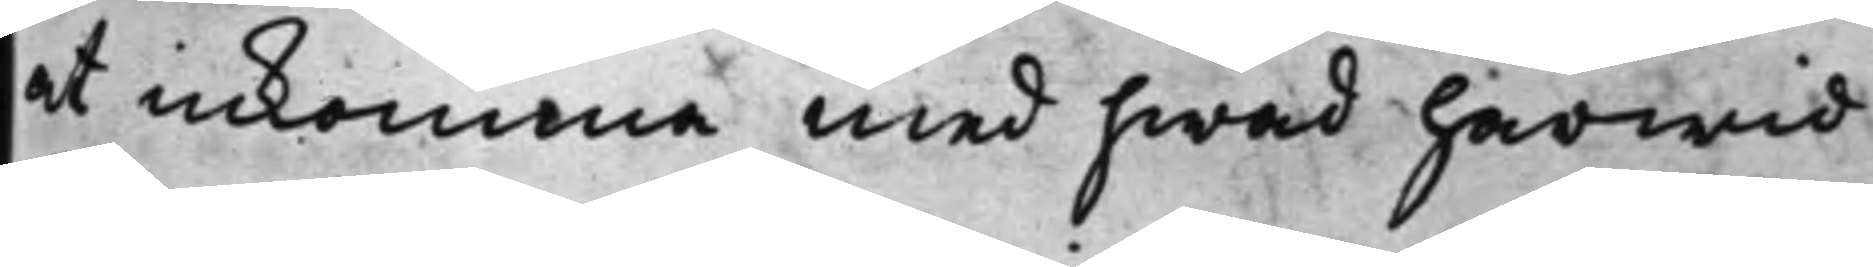at inkomma med hwad härwid
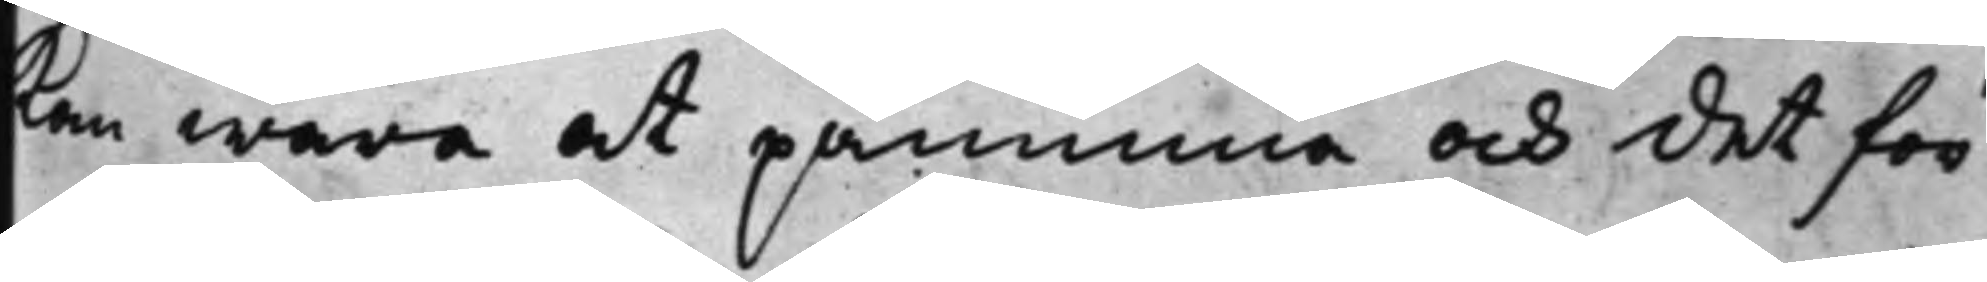kan wara at påminna och det för
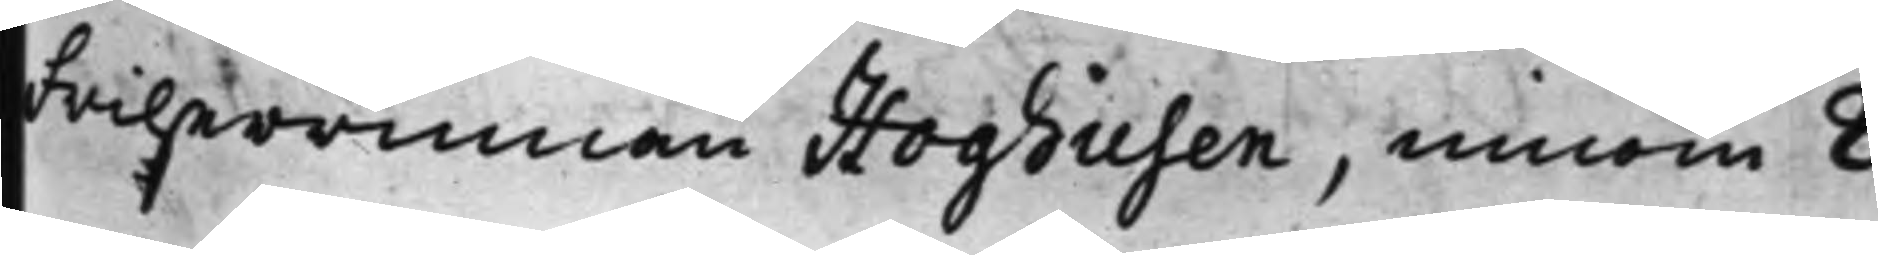Friherrinnan Hoghusen, innom 8
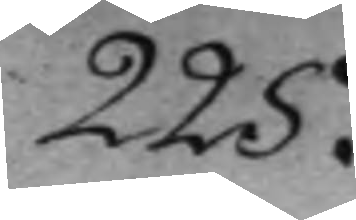225.
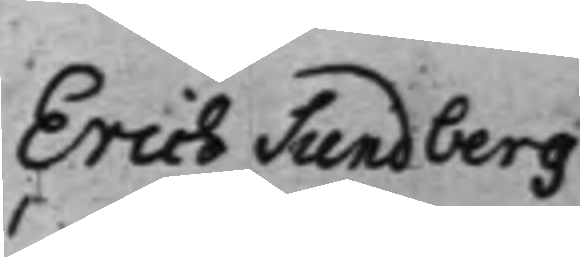Erich Sundberg
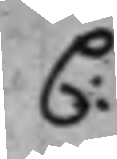C.
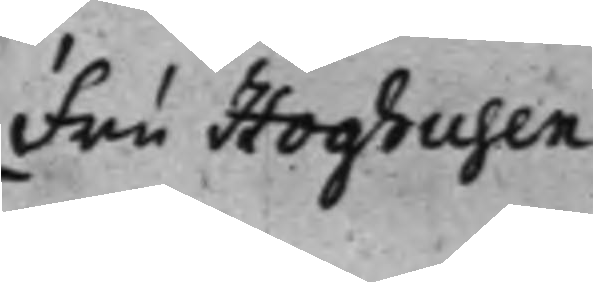Fru Hoghusen
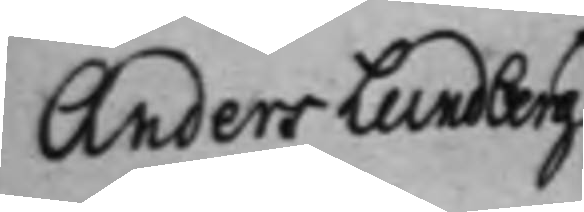Anders Lundberg
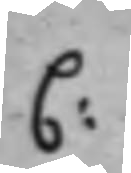C:
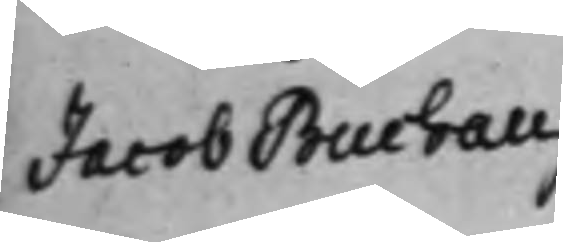Jacob Buchau
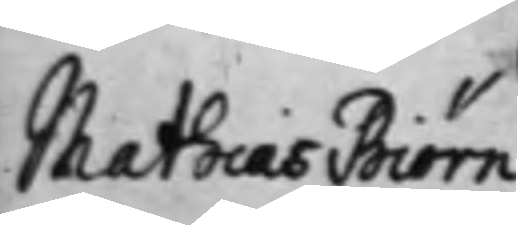Mathias Biörn¬
